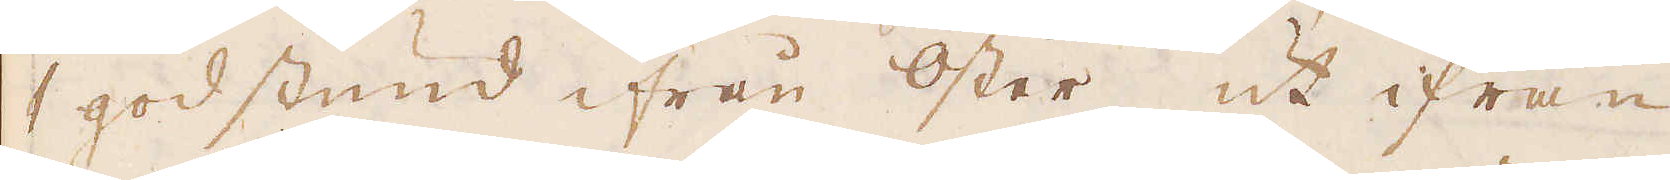1 god stund ifrån Öster ut ifrån
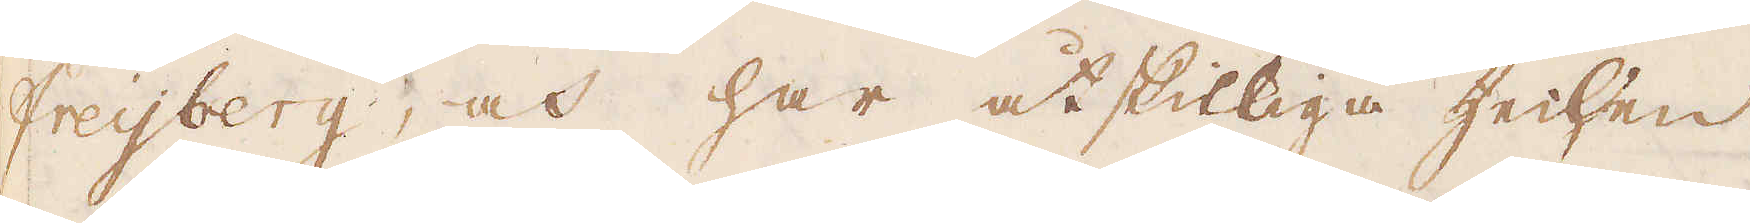Freijberg, och har åtskilliga Zechen
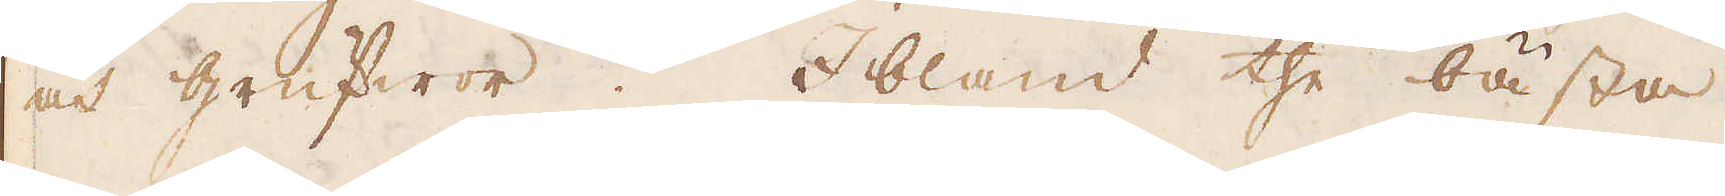och grufwor. Ibland the bästa
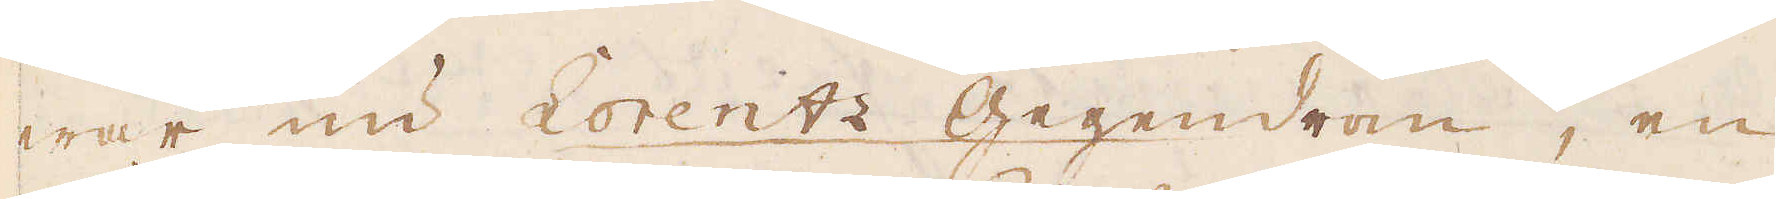war nu Lorentz Gegendrom, en
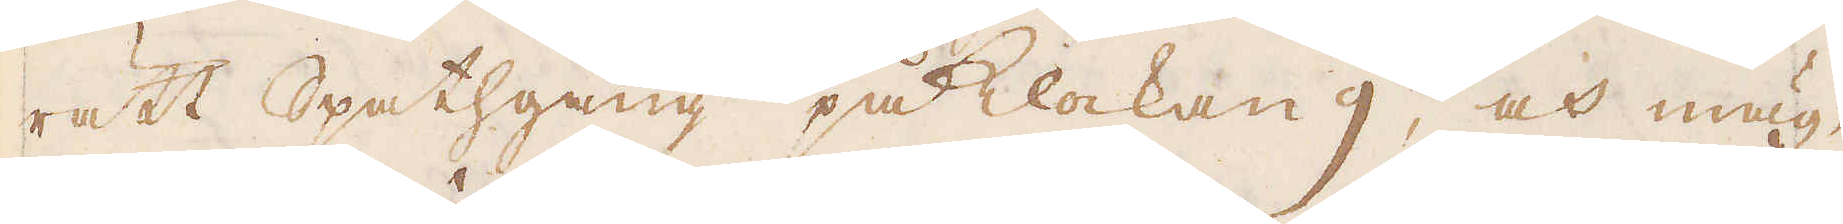rätt Spathgång på klockan 9, och mäg-
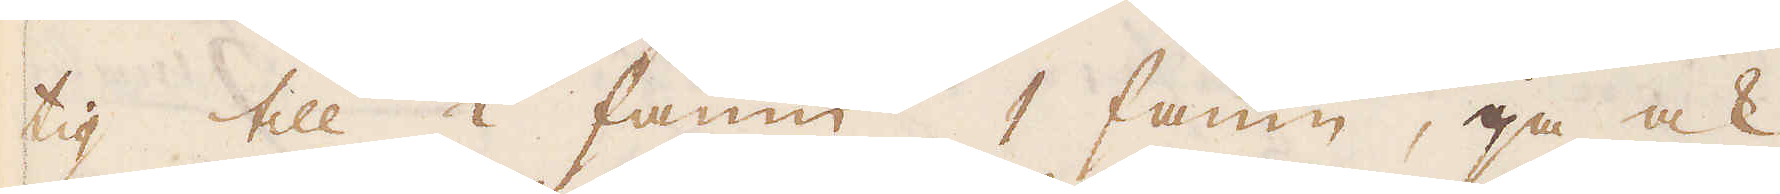tig till 1/2 famn, 1 famn, ja ock
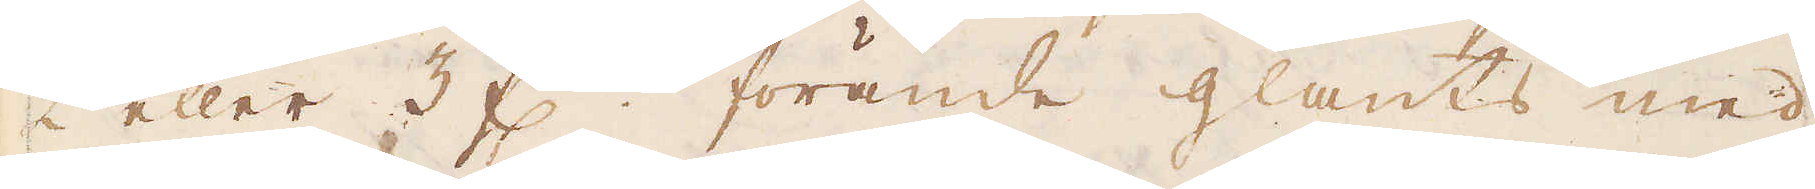2 eller 3 f:r förände glants med
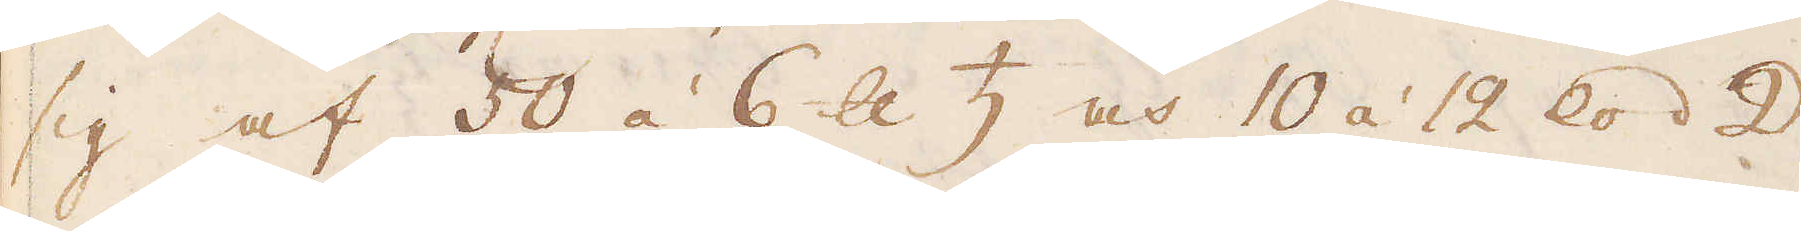sig af 50 á 6 skålpund ♄ och 10 á 12 lod ☽
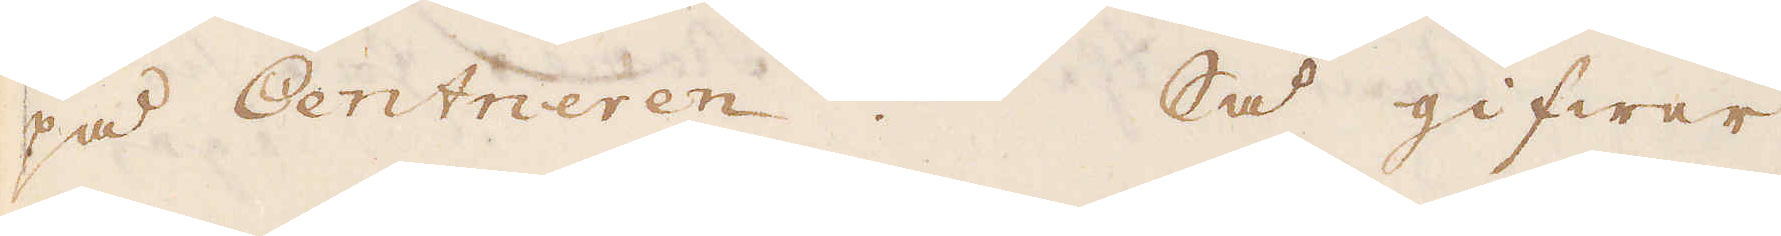på Centneren. Så gifwer
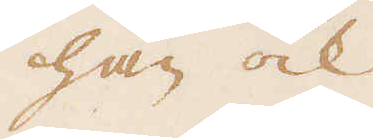han ock
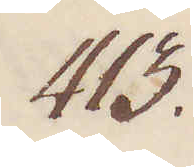413.
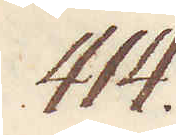414.
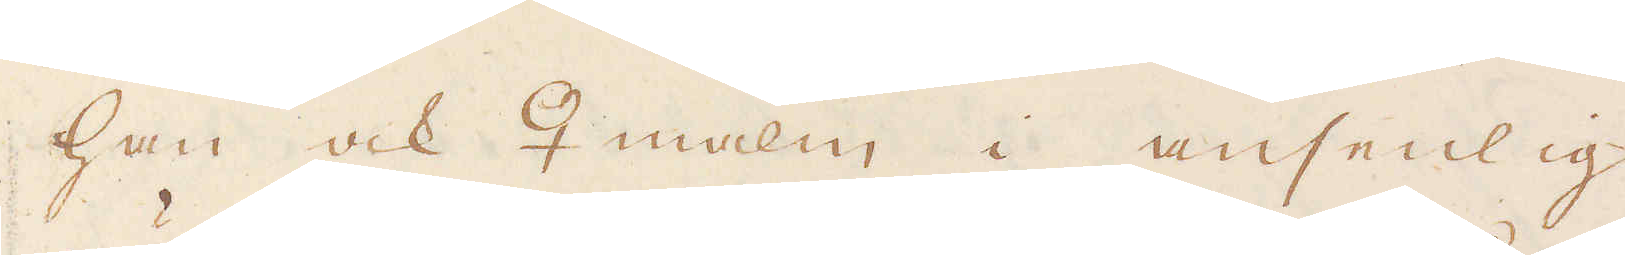han ock ♀ malm i ansenlig
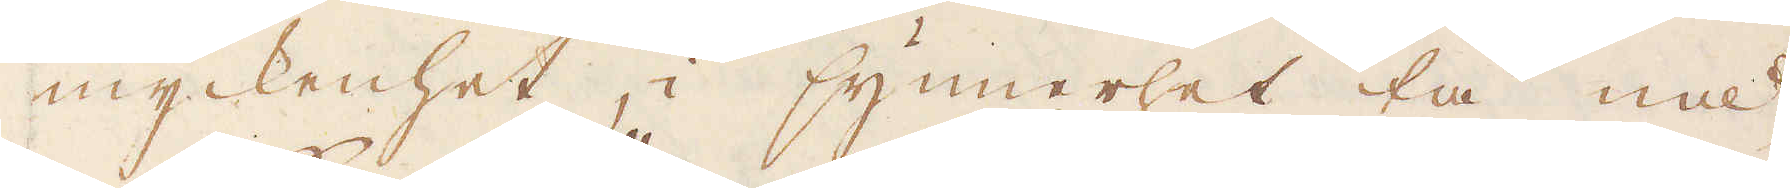myckenhet, i synnerhet tå nå-
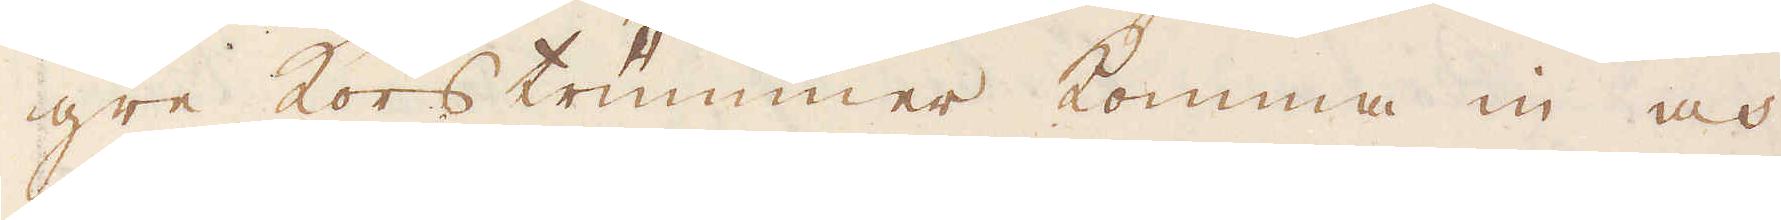gre kors trummer komma in och
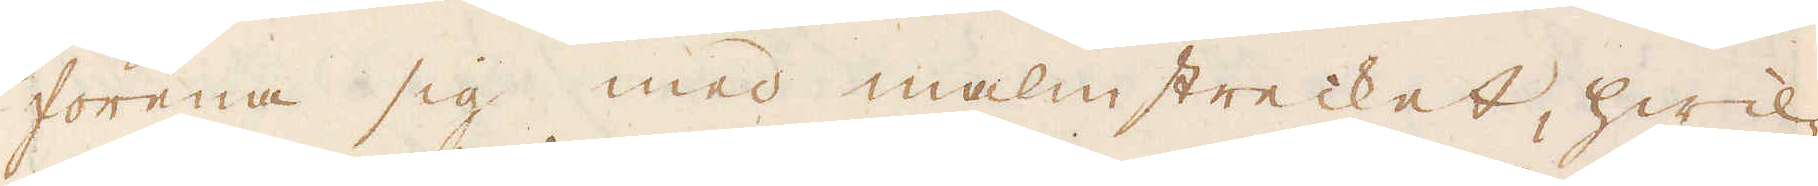förena sig med malmstrecket, hwil-
